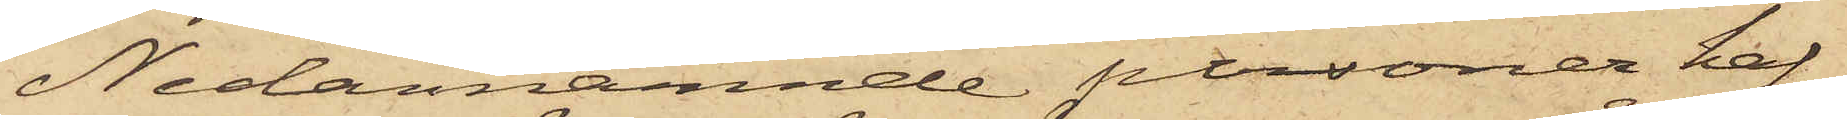Nedannämnde personer haf¬
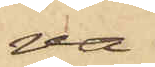va
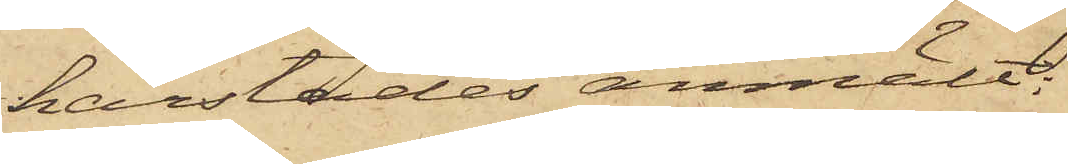härstädes anmält:
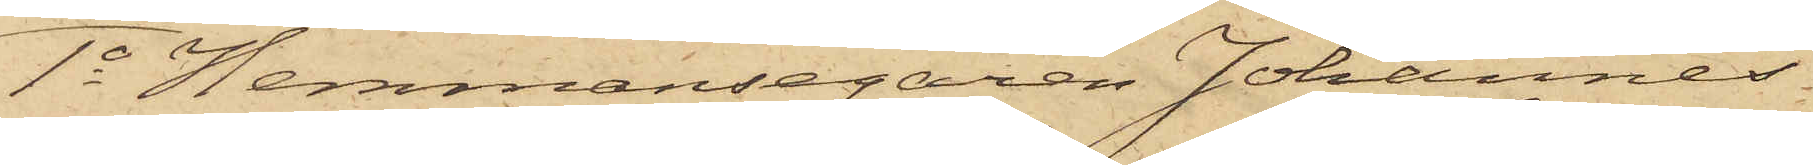1o Hemmansegaren Johannes
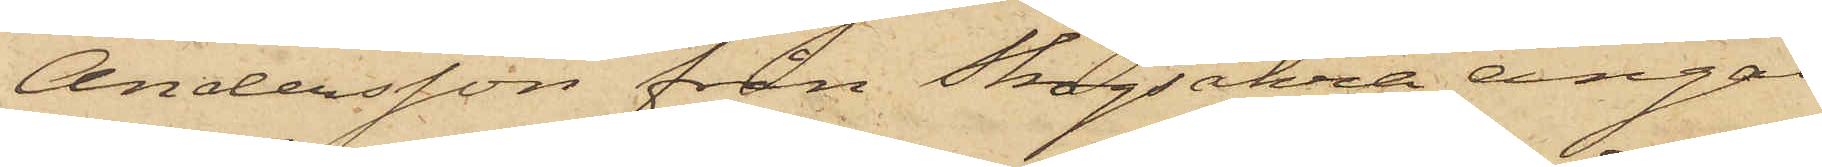Andersson från Skogsåkra ängar
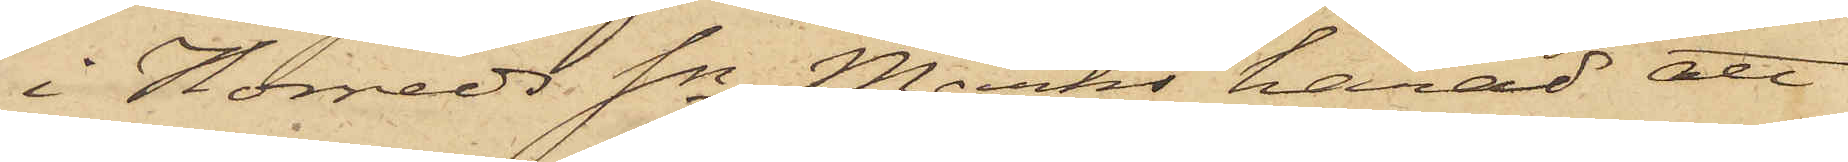i Horreds Sn Marks härad att
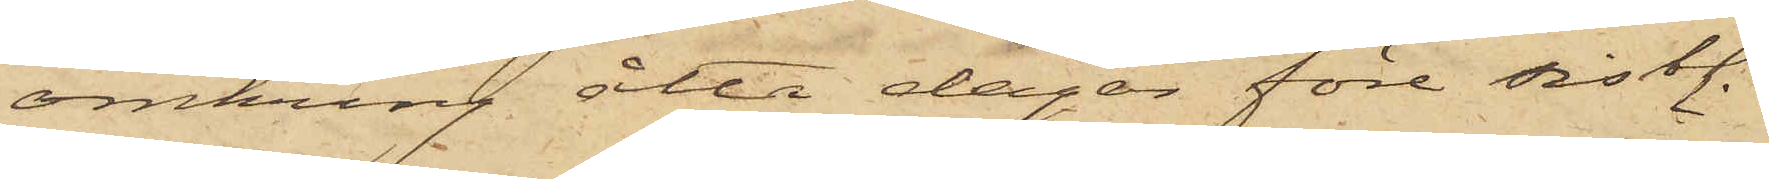omkring åtta dagar före sistl.
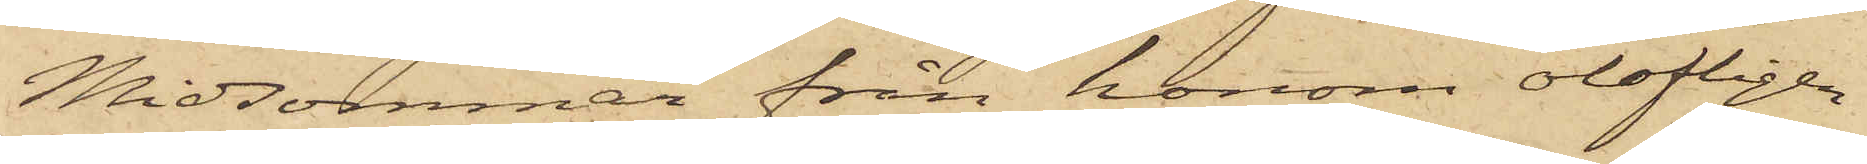Midsommar från honom olofligen
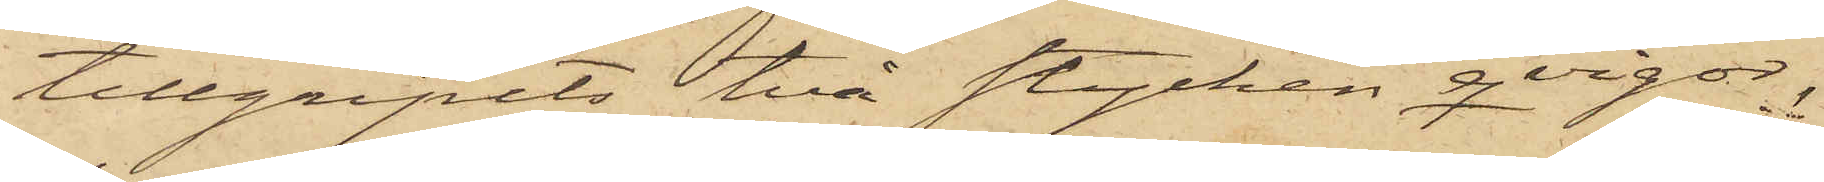tillgripits två stycken qvigor,
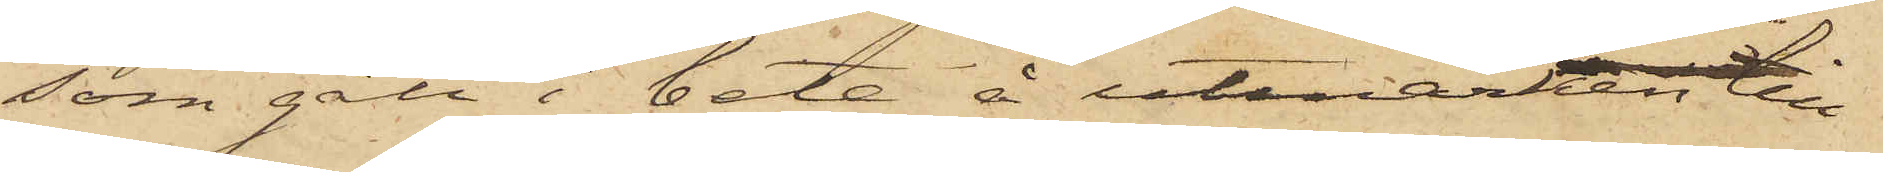som gått i bete å utmarken till
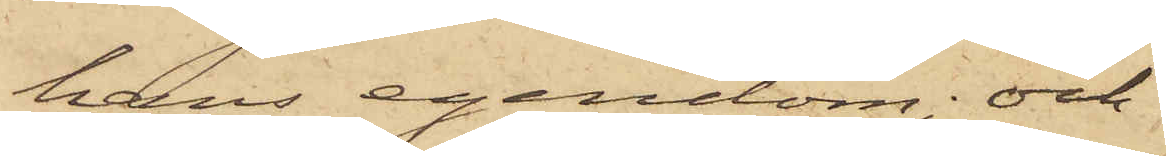hans egendom; och
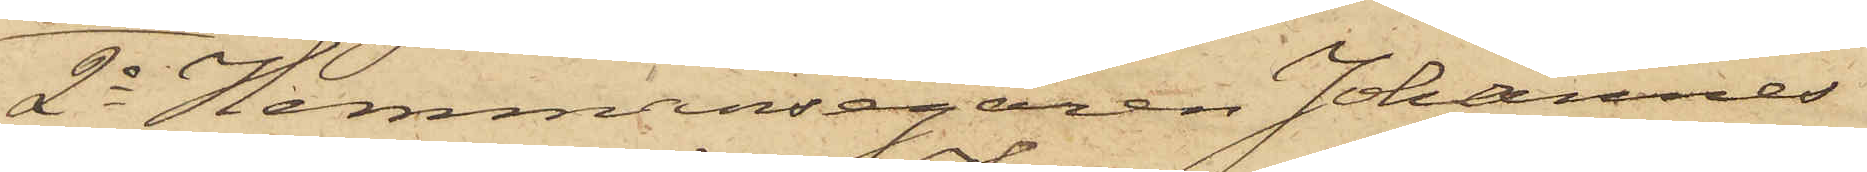2o Hemmansegaren Johannes
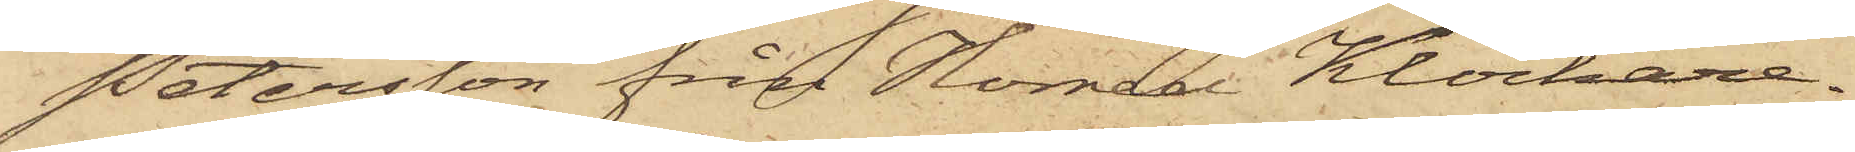Petersson från Horred Klockare¬
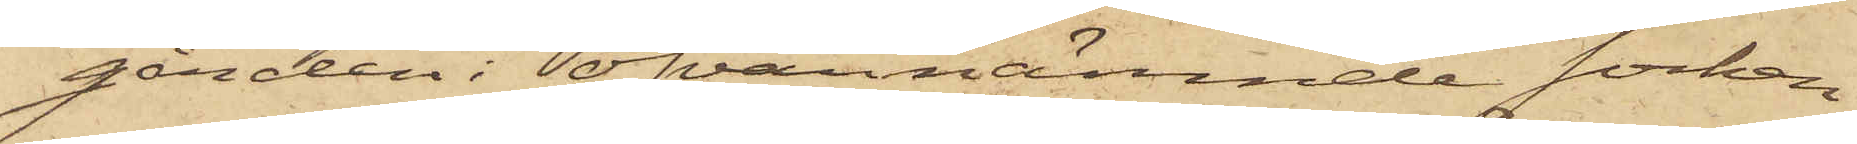gården i ofvannämnde socken
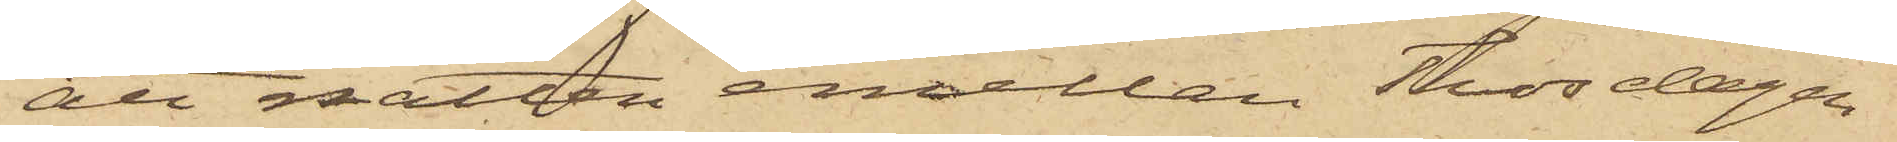att natten emellan Thorsdagen
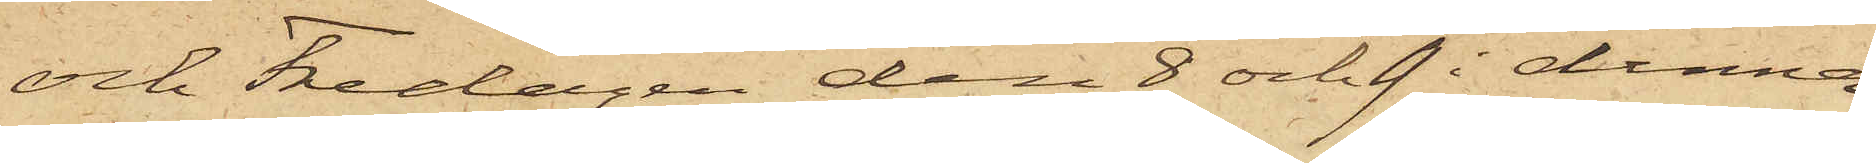och Fredagen den 8 och 9 i denna
